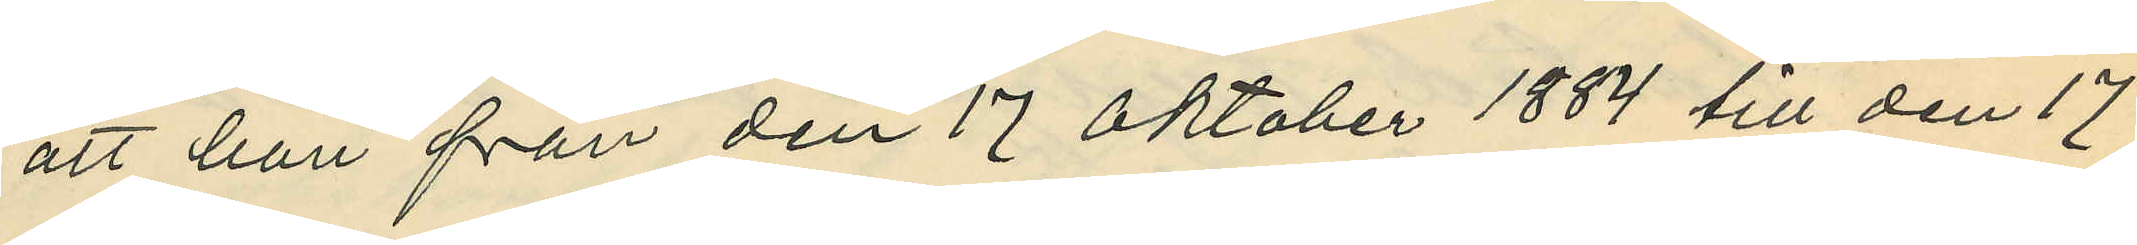att han från den 17 Oktober 1884 till den 17
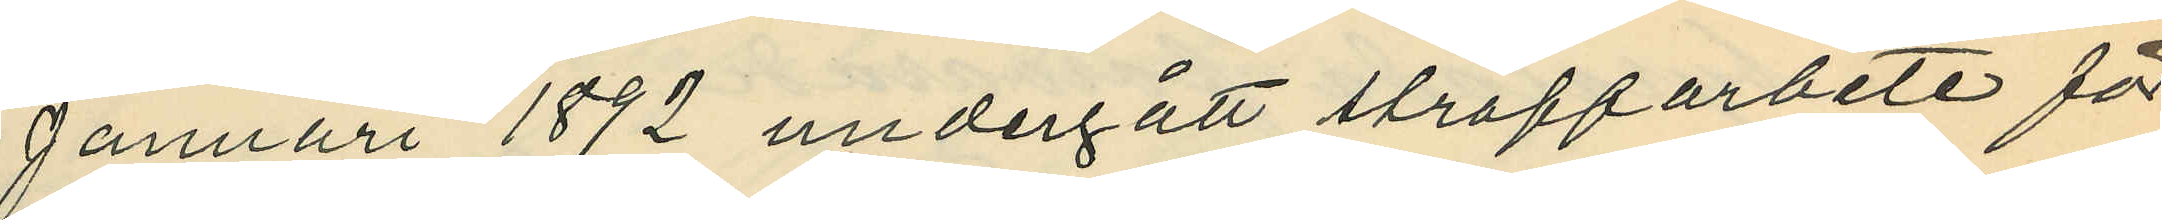Januari 1892 undergått straffarbete för
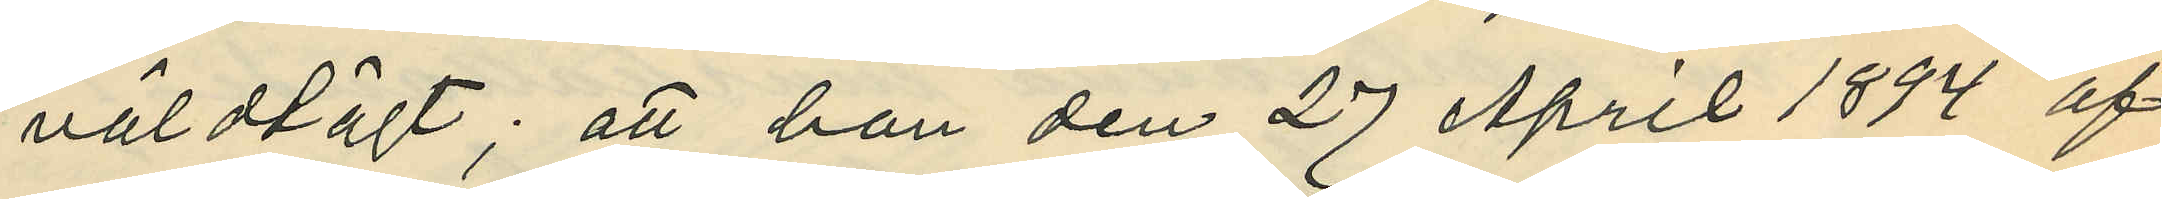våldtägt; att han den 27 April 1894 af
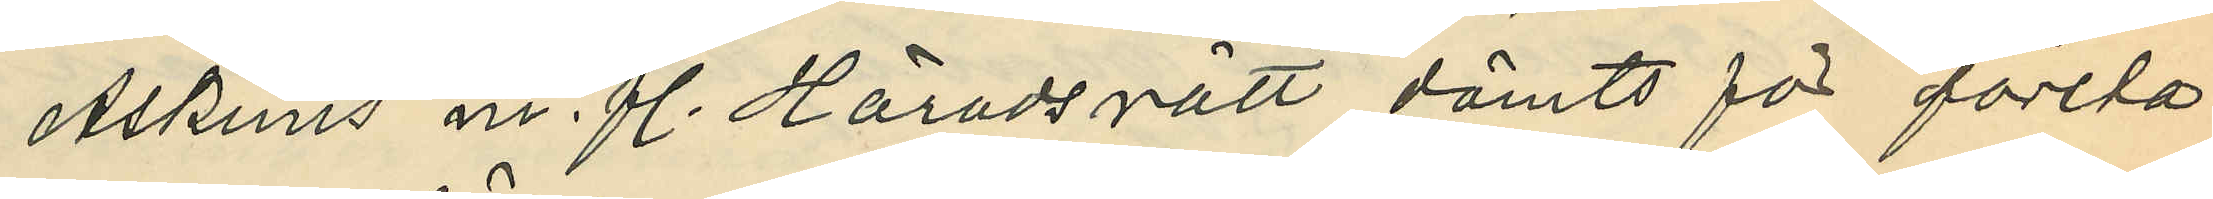Askims m. fl. Häradsrätt dömts för första
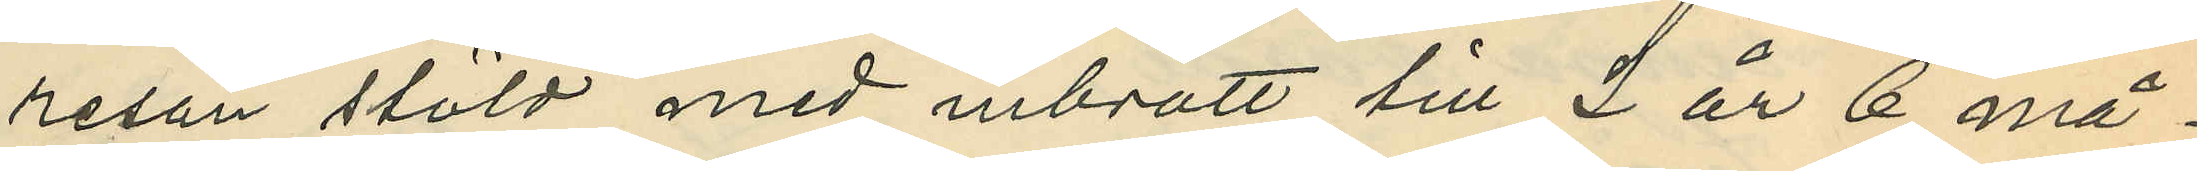resan stöld med inbrott till 2 år 6 må¬
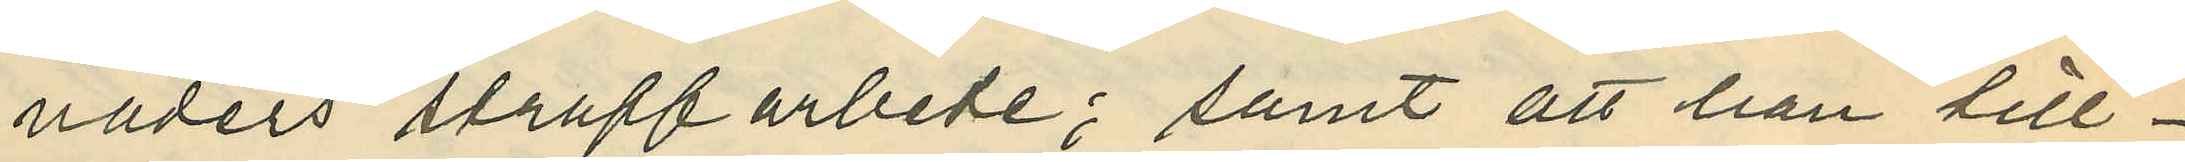naders straffarbete; samt att han till¬
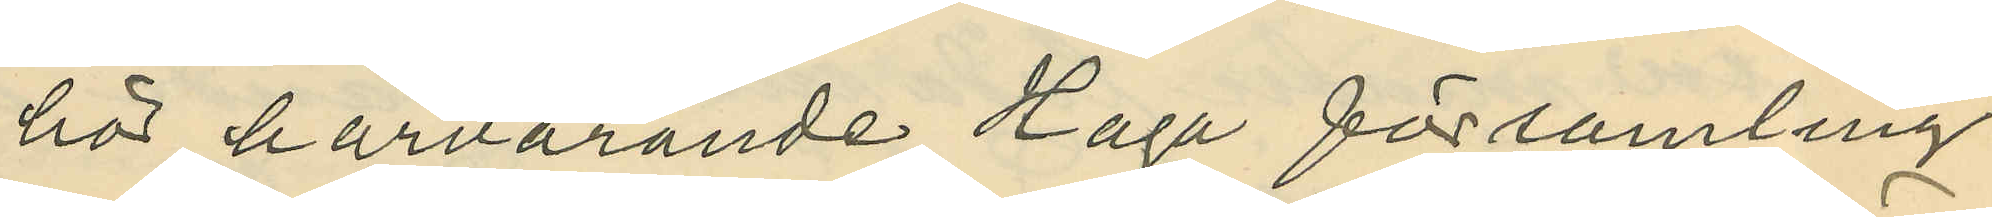hör härvarande Haga församling.
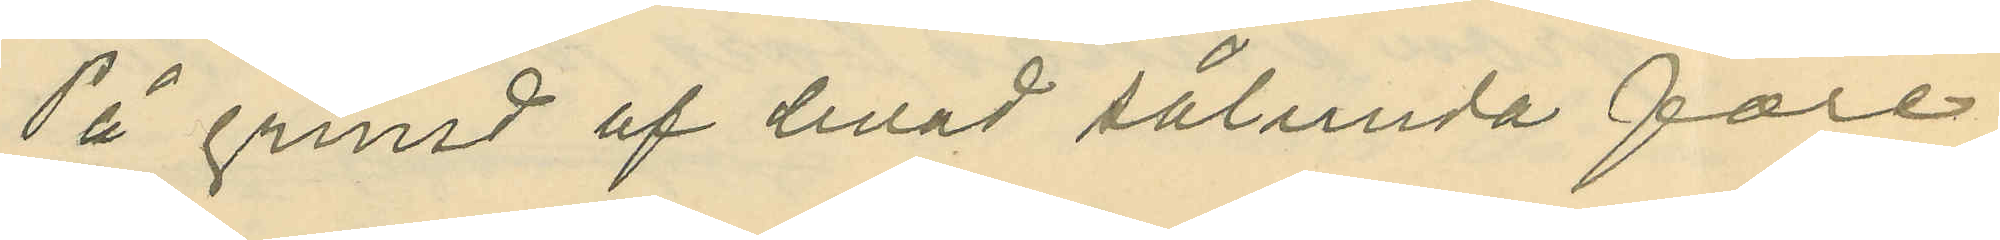På grund af hvad sålunda före¬
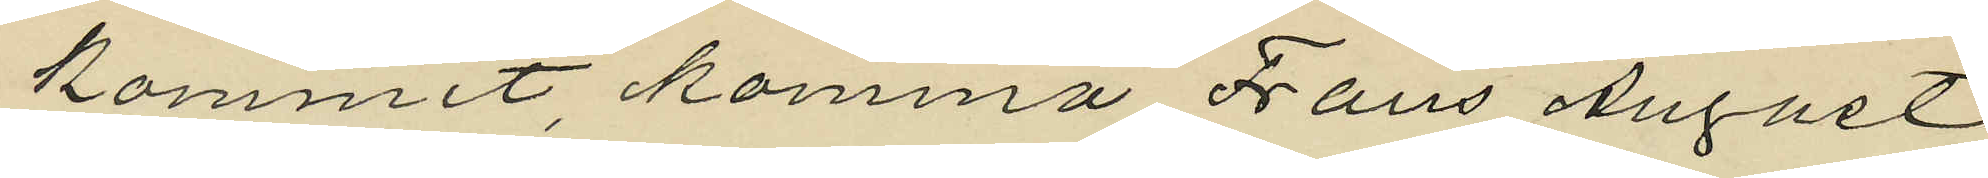kommit, komma Frans August
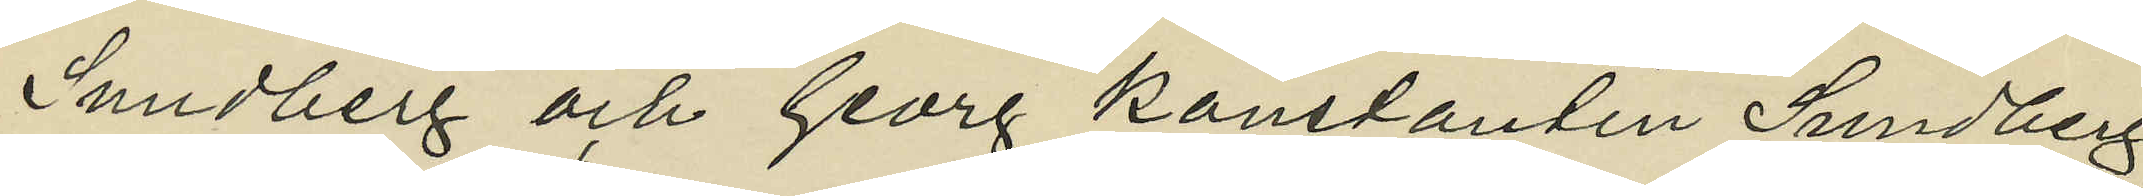Sundberg och Georg Konstantin Sundberg,
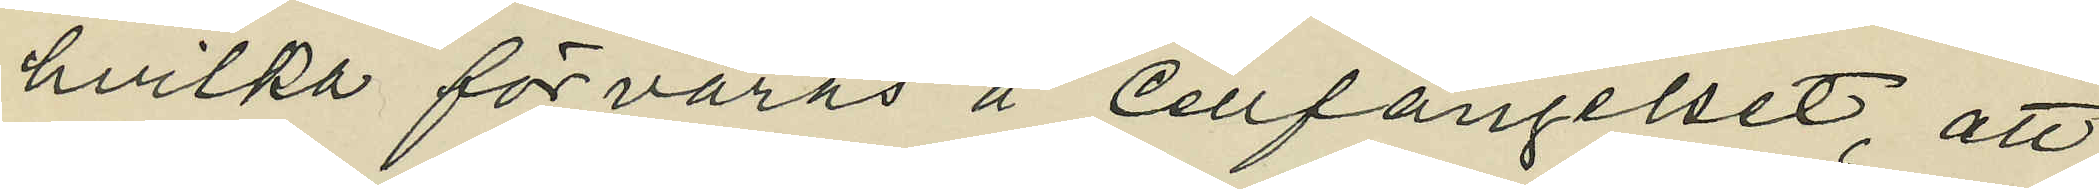hvilka förvaras å Cellfängelset, att
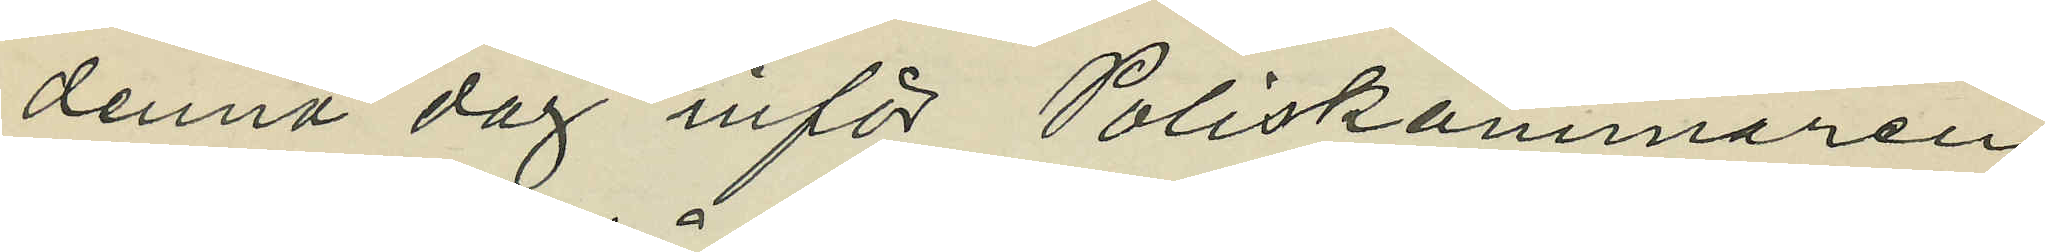denna dag inför Poliskammaren
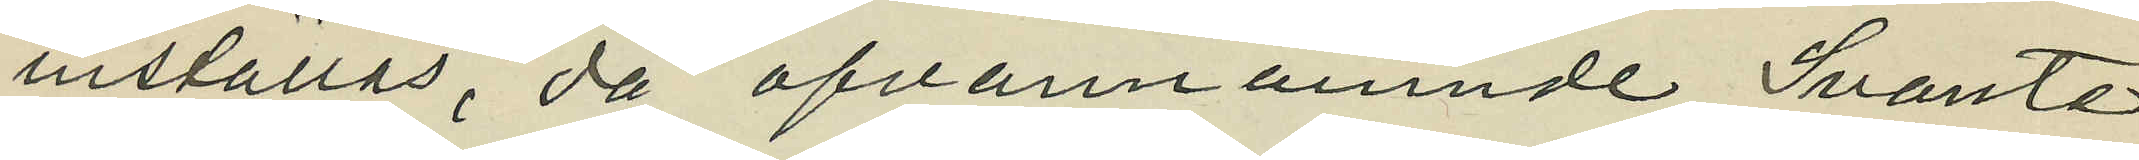inställas, då ofvannämnde Svante
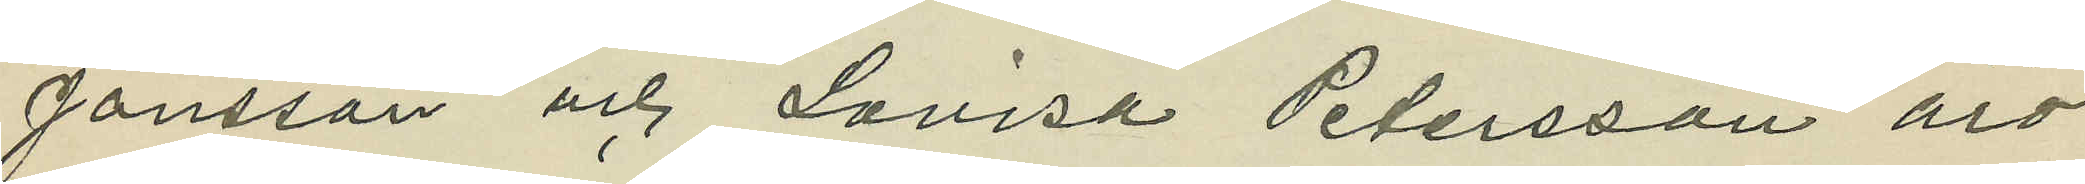Jonsson och Lovisa Petersson äro
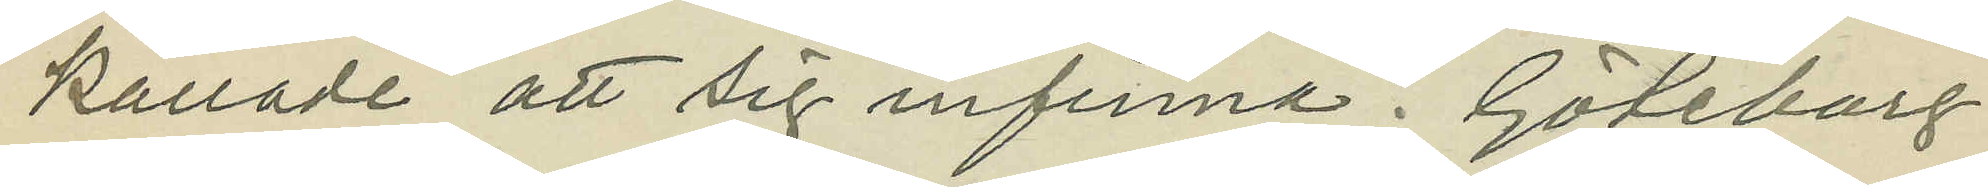kallade att sig infinna. Göteborg
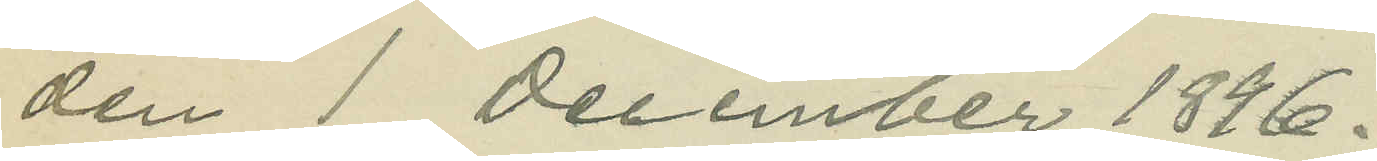den 1 December 1896.
